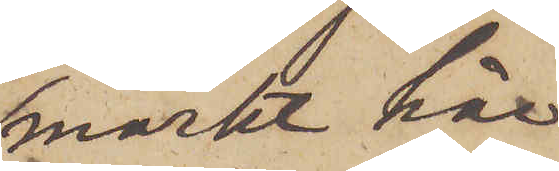mörkt hår
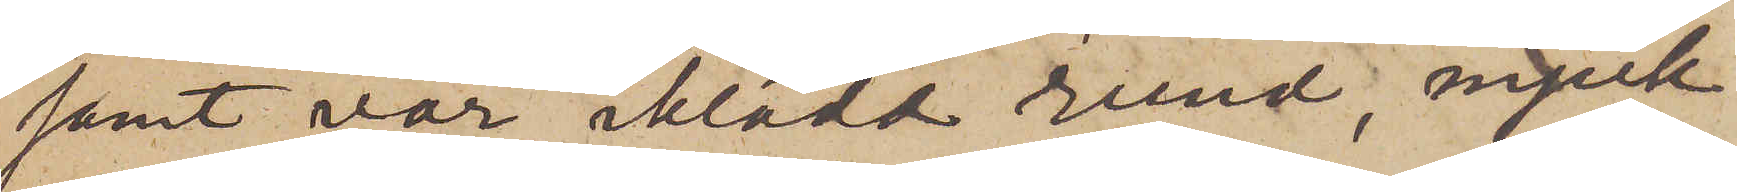samt var iklädd rund, mjuk
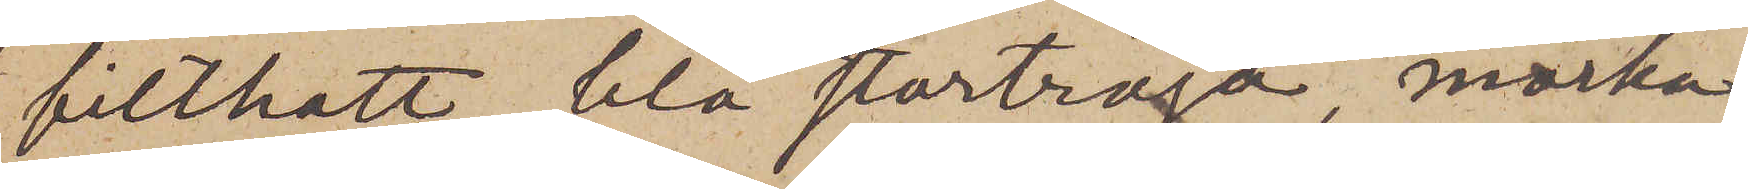filthatt, blå stortröja, mörka
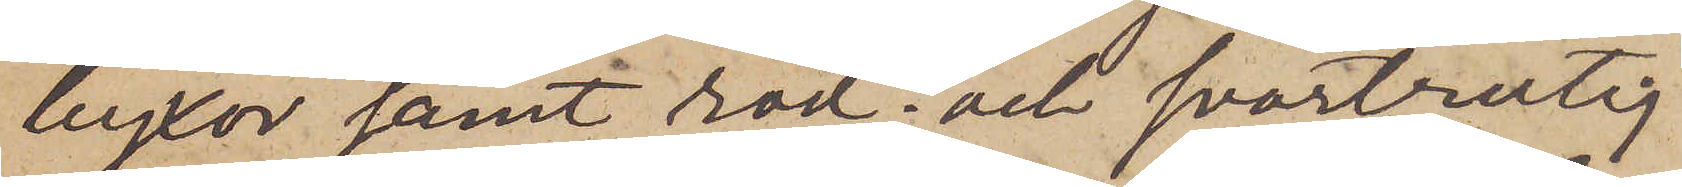byxor samt röd- och svartrutig
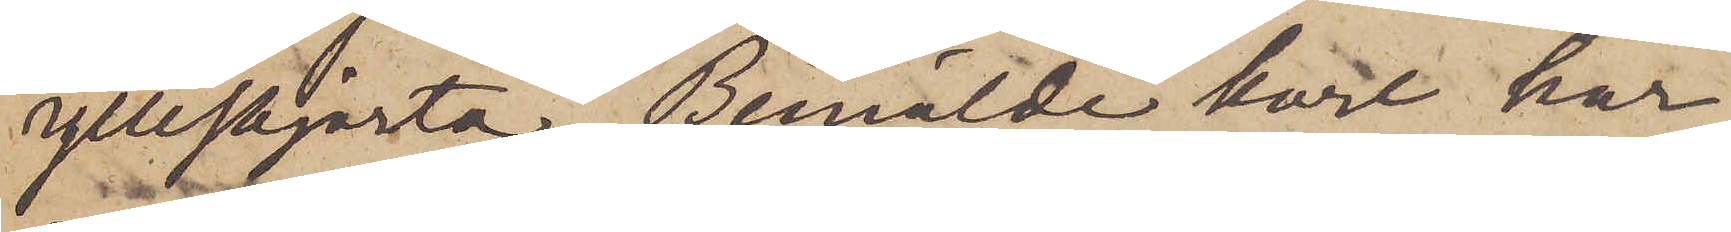ylleskjorta. Bemälde karl har
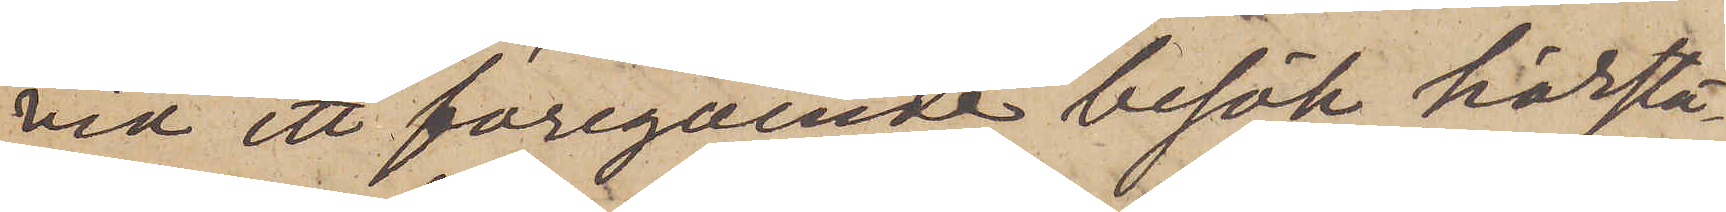vid ett föregående besök härstä¬
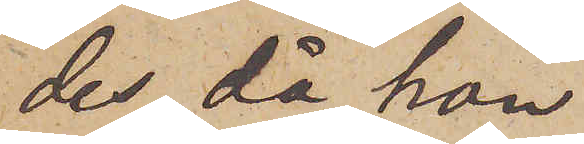des, då han
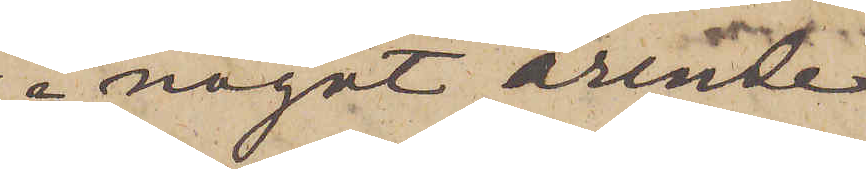i något ärende
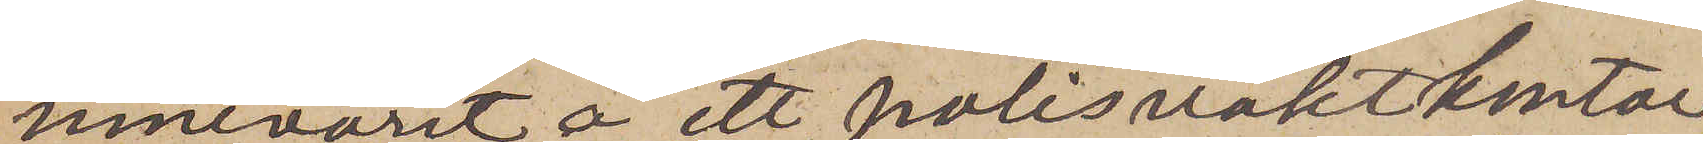innevarit å ett polisvaktkontor,
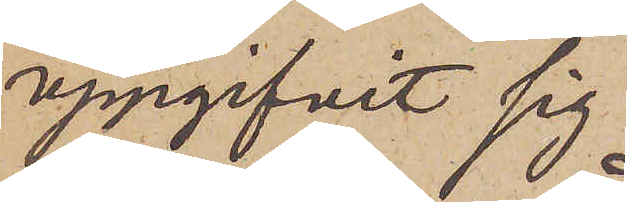uppgifvit sig
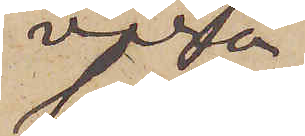vara
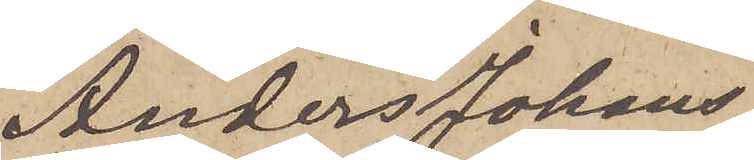Anders Johans¬
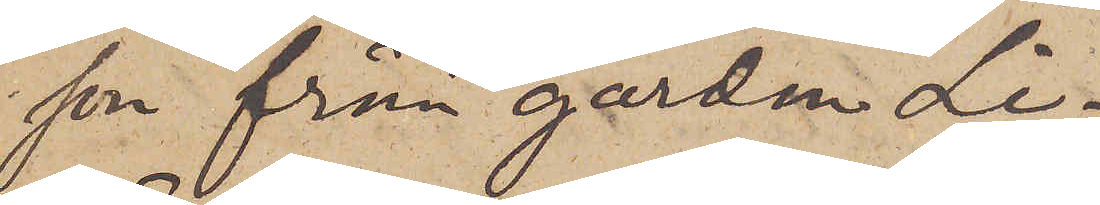son från gården Li.
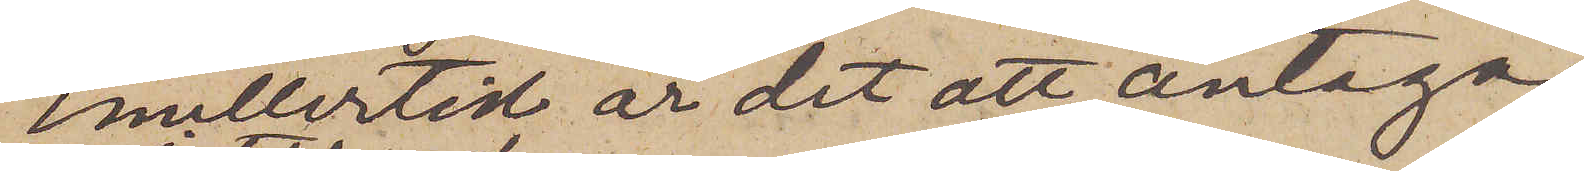Emellertid är det att antaga,
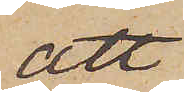att
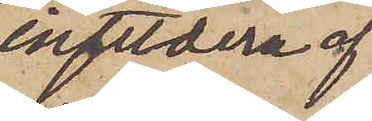ingetdera af
